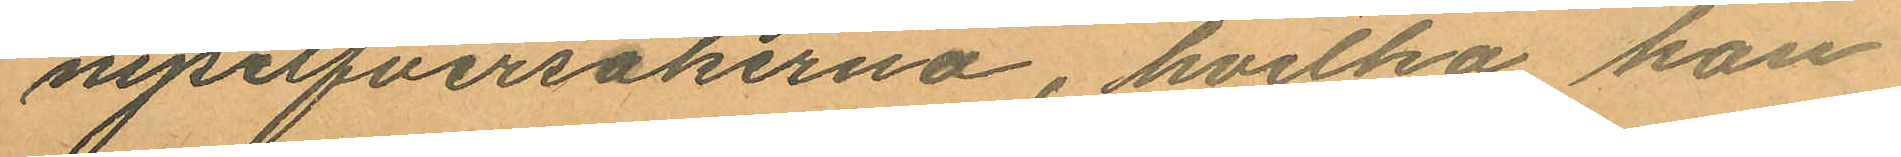nysilfversakerna, hvilka han
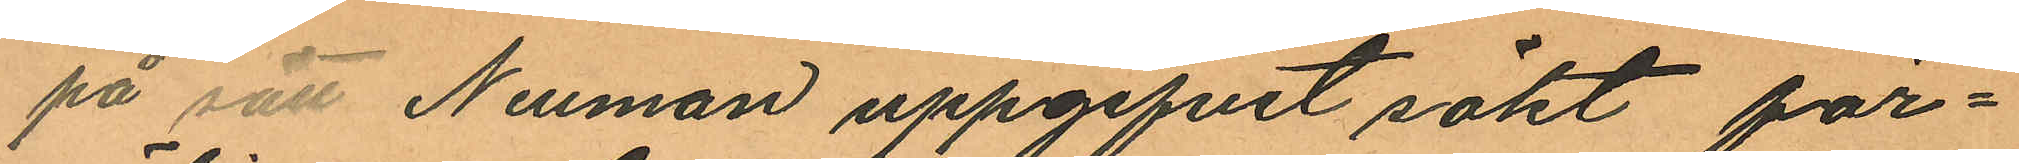på sätt Neuman uppgifvit sökt för¬
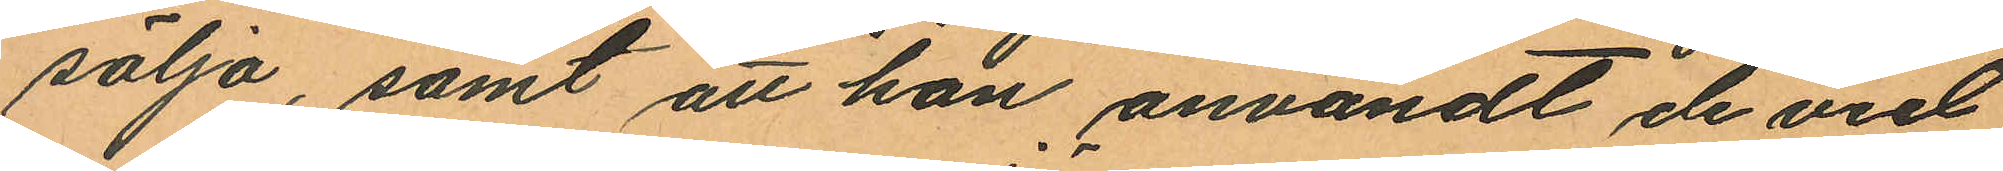sälja, samt att han användt de vid
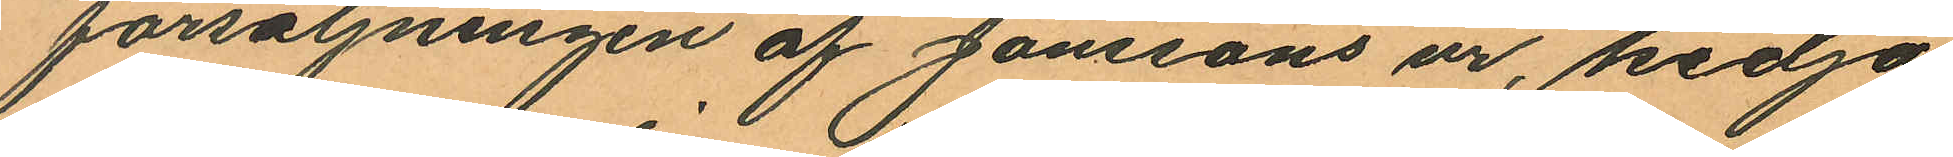försäljningen af Jönssons ur, kedja
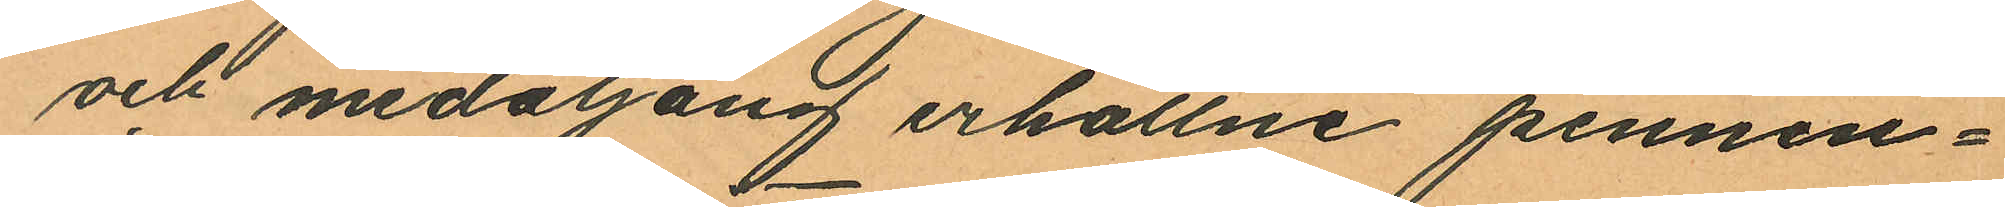och medaljong erhållne pennin¬
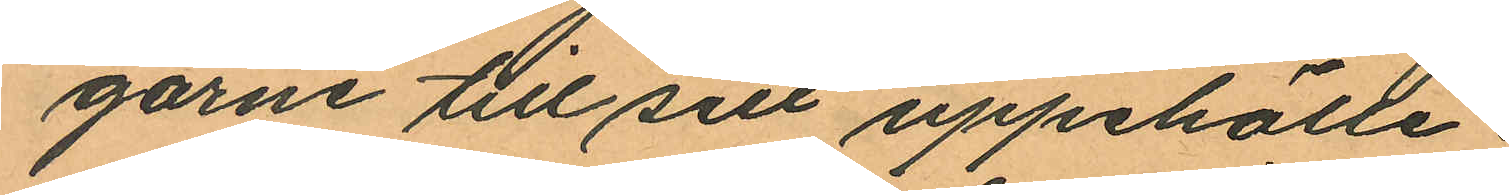garne till sitt uppehälle.
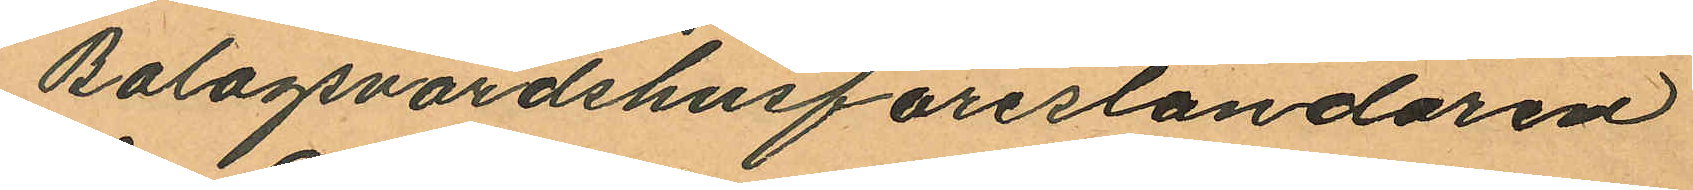Bolagsvärdshusföreståndaren
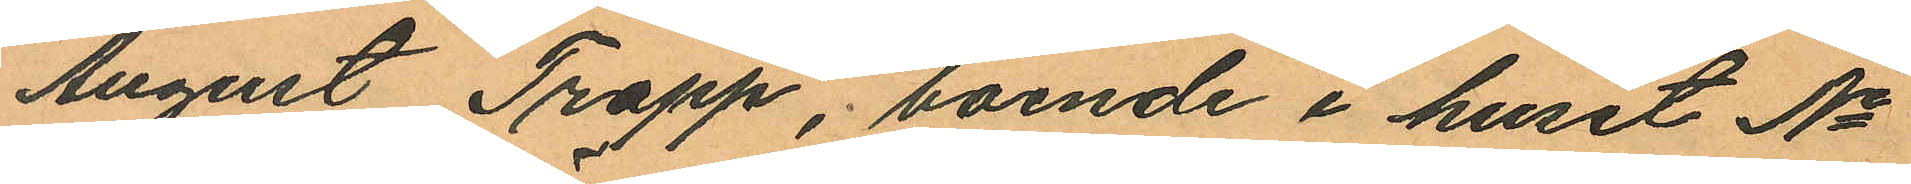August Trapp, boende i huset No
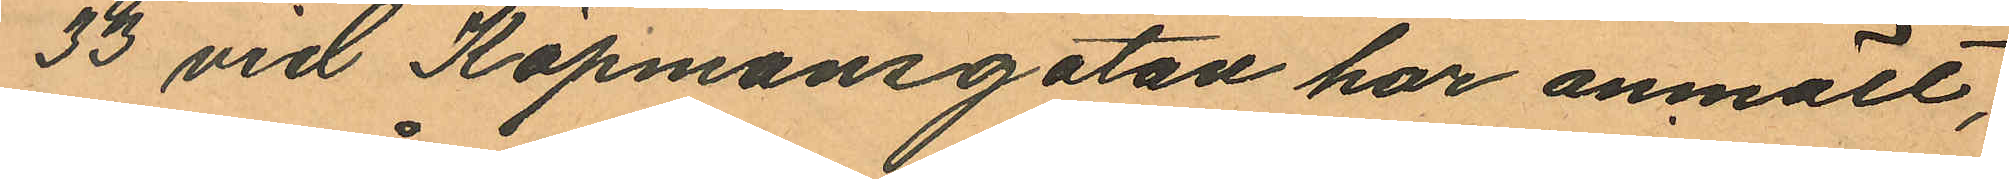33 vid Köpmansgatan har anmält,
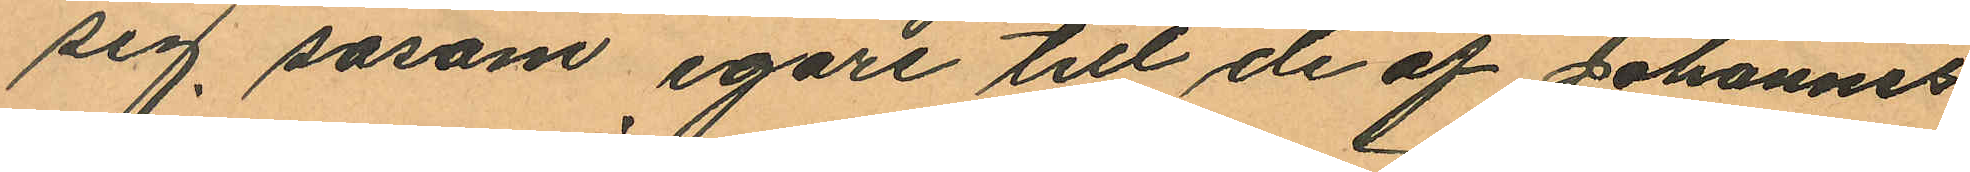sig såsom egare till de af Johannes
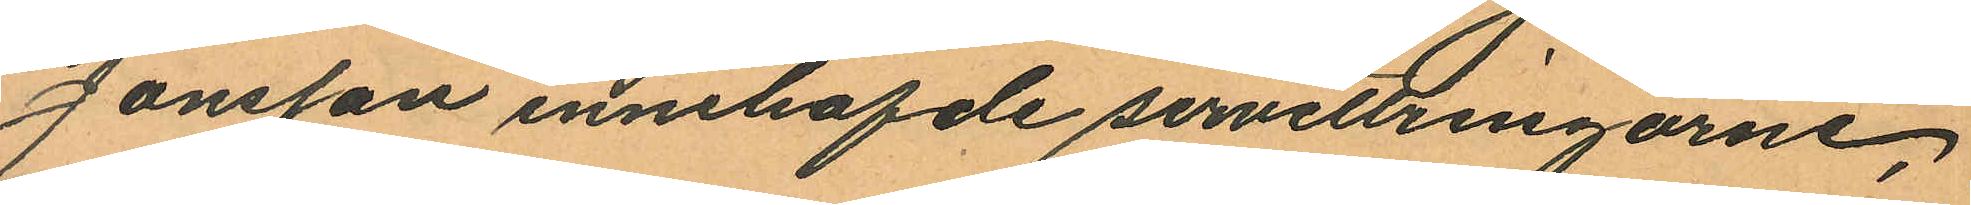Jonsson innehafde servettringarne,
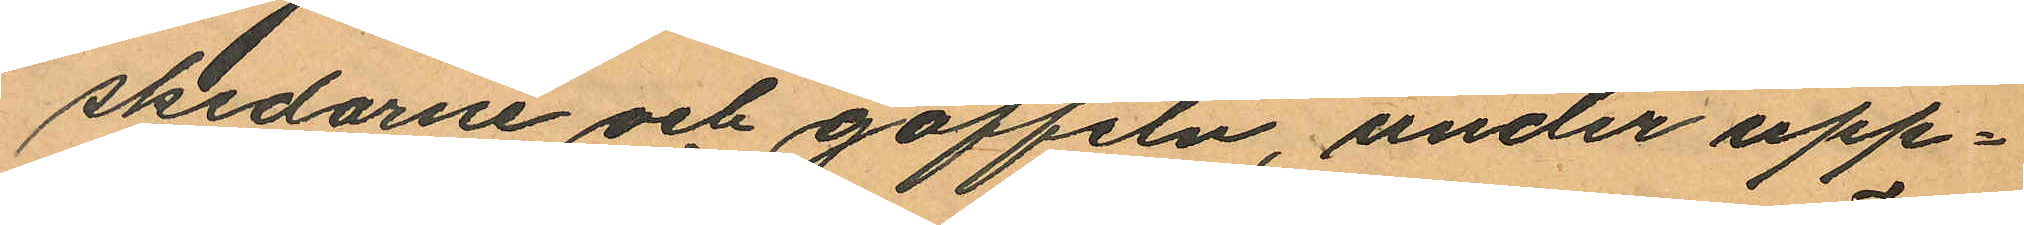skedarne och gaffeln, under upp¬
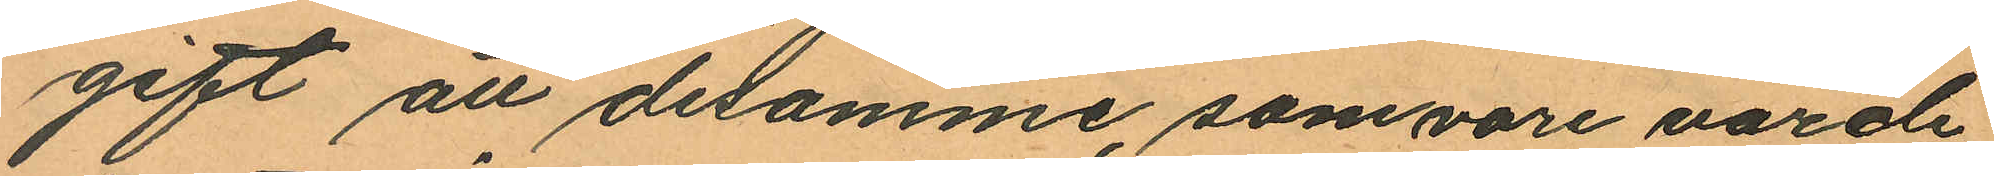gift att desamme, som vore värde
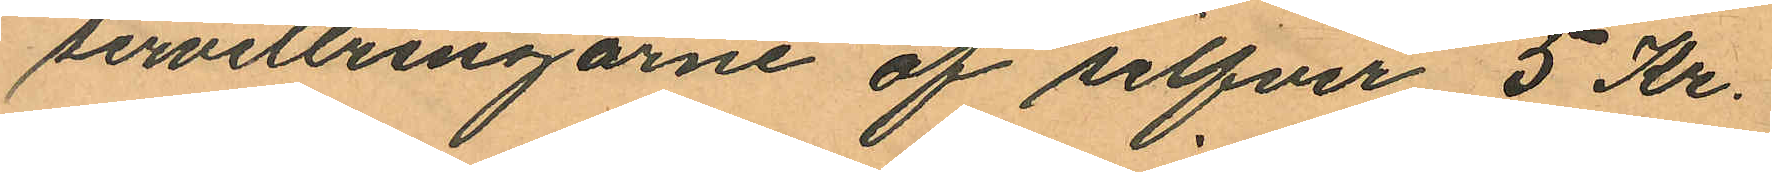servettringarne af silfver 5 Kr.
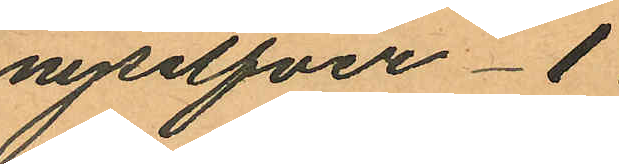nysilfver 1
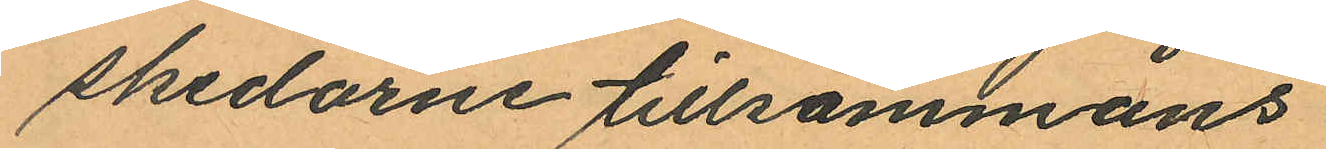skedarne tillsammans
